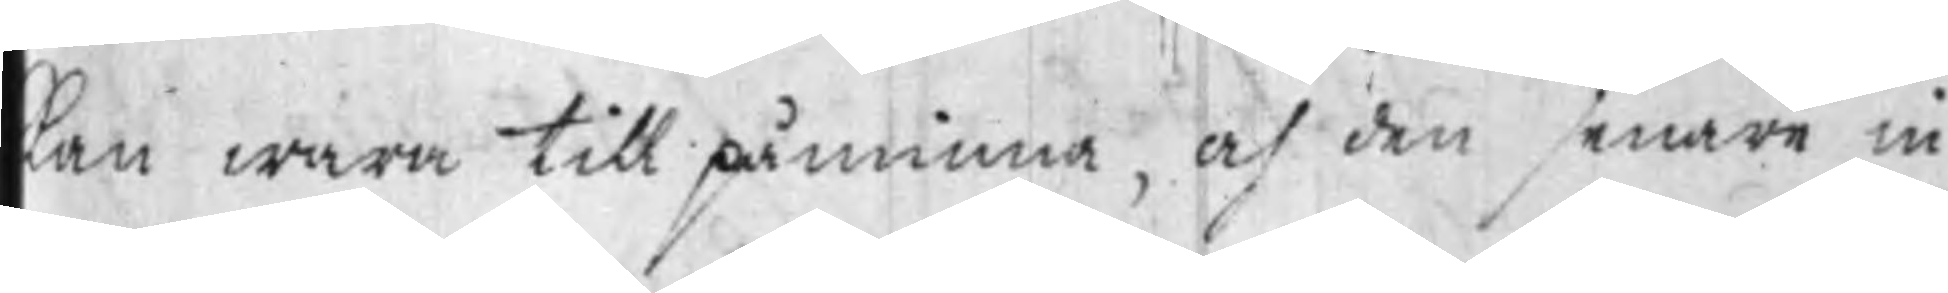kan wara till påminna, och den senare in¬
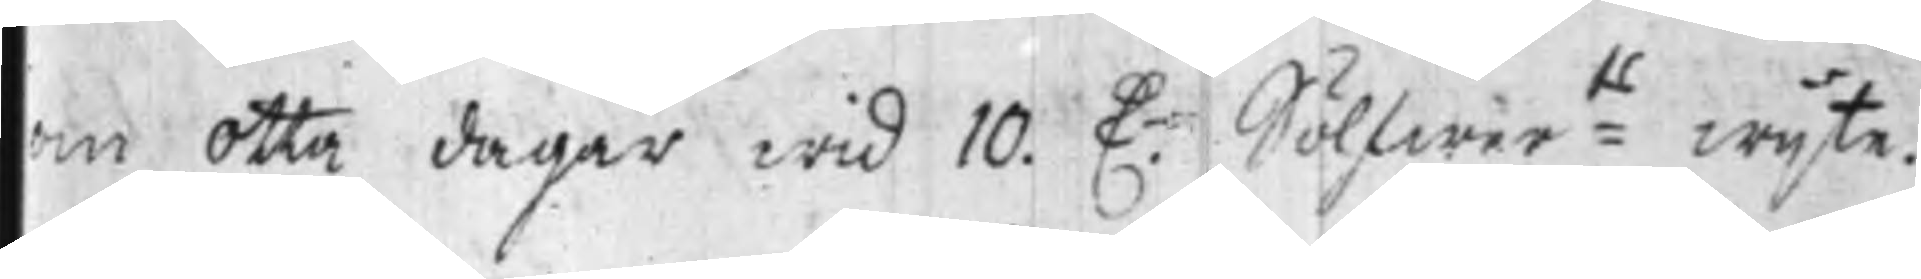om otta dagar wid 10. D:r Sölfwer:ts wijte.
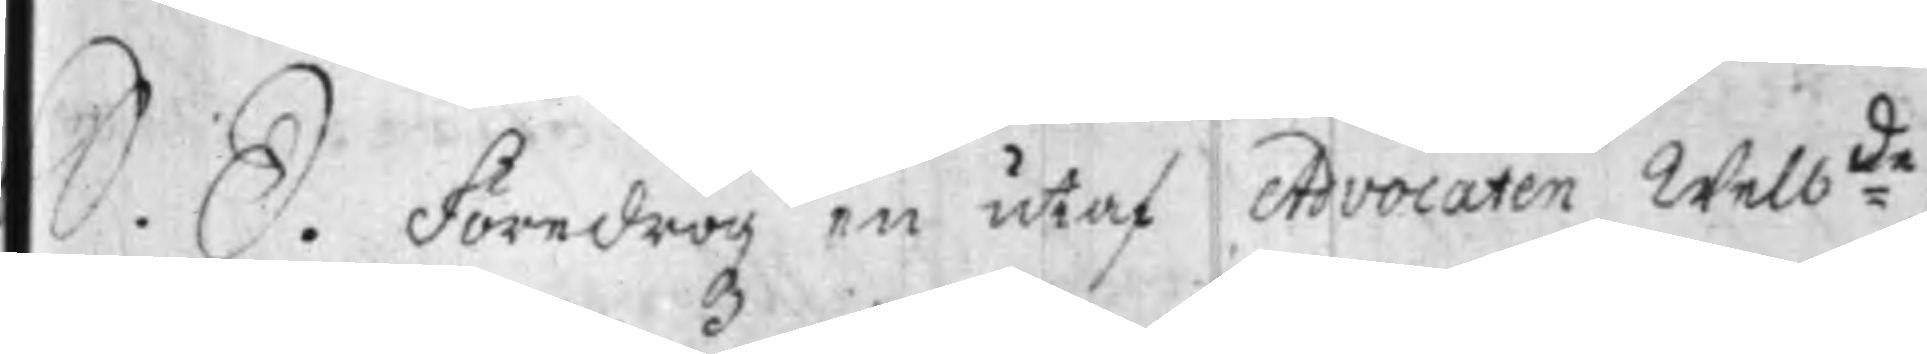S. D. Föredrogz en utaf Advocaten Welb:de
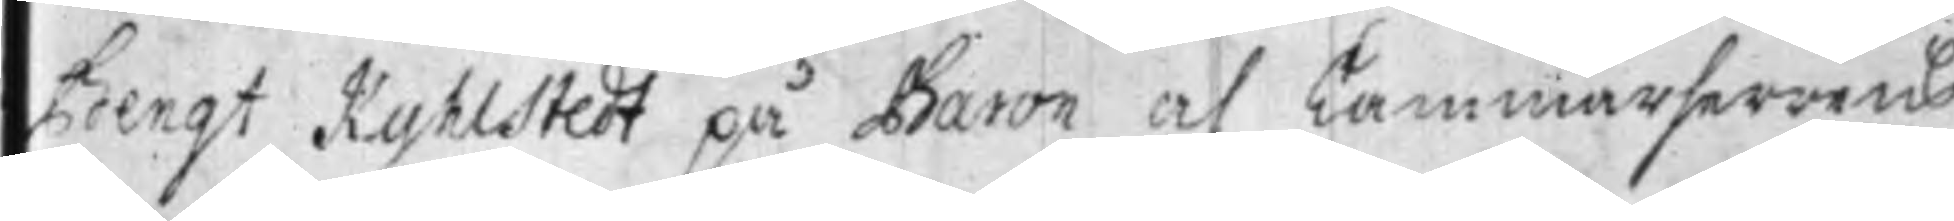Bengt Kyhlstedt på Baron och Kammarherrens
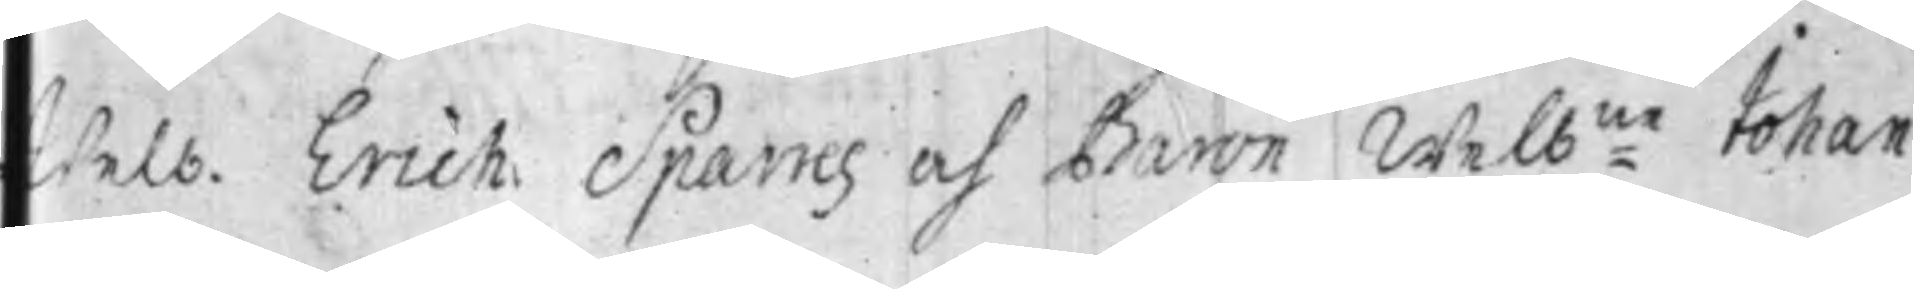Welb. Erich: Sparres och Baron Welb:ne Johan
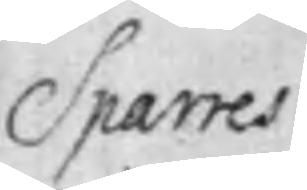Sparres
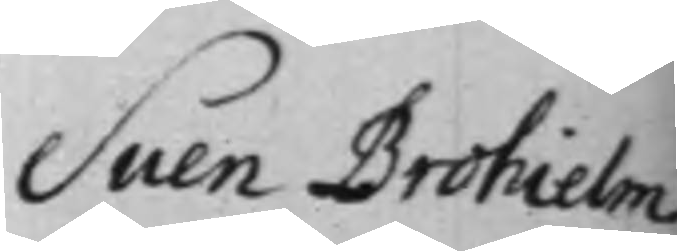Sven Brohielm
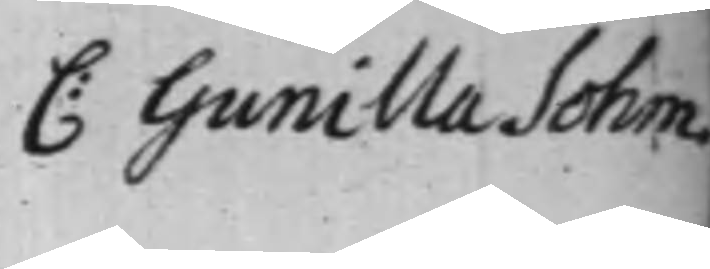C: Gunilla Sohm
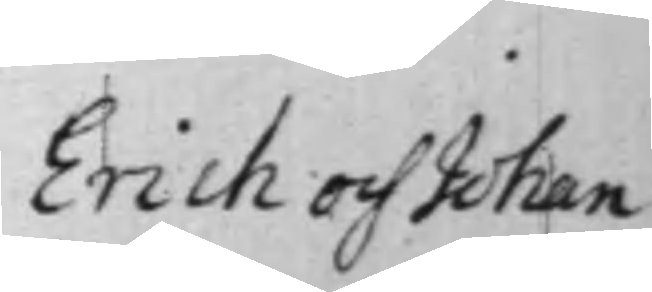Erich och Johan
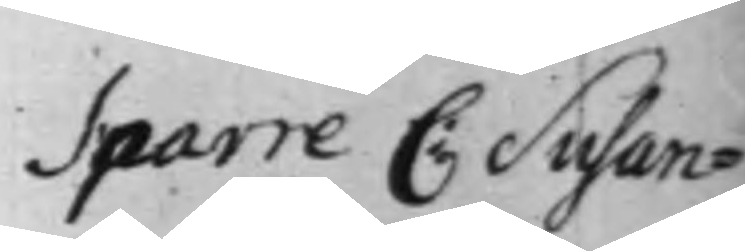Sparre C: Susan¬
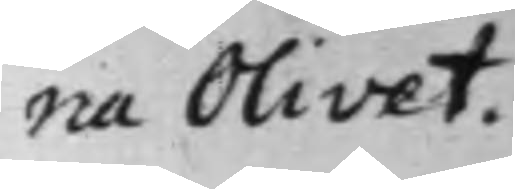na Olivet.
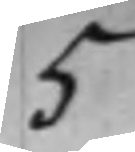5
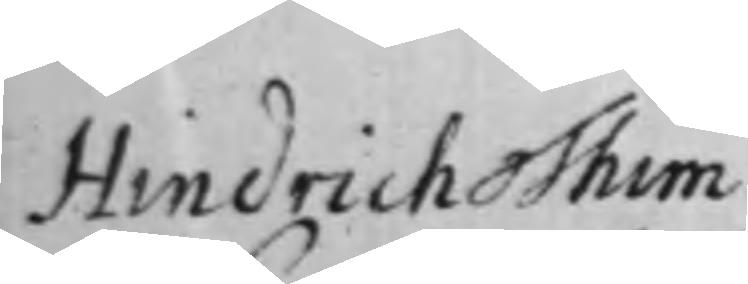Hindrich Thim
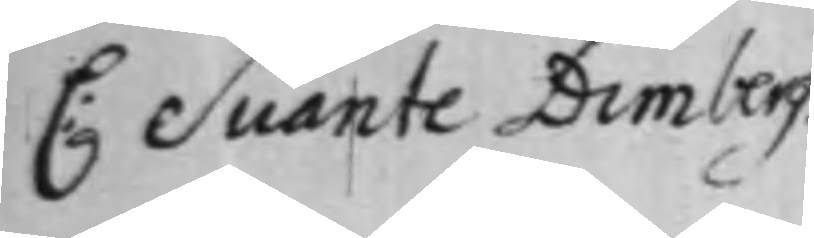C: Svante Dimberg.
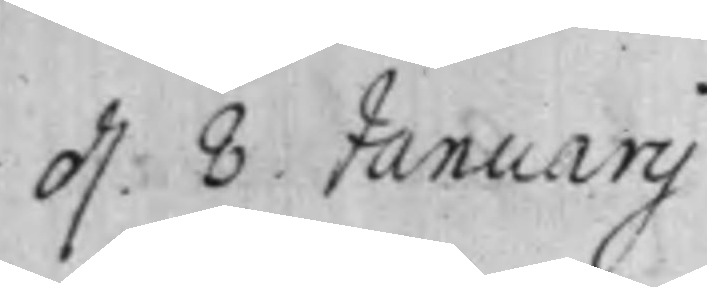d. 8. Januarij
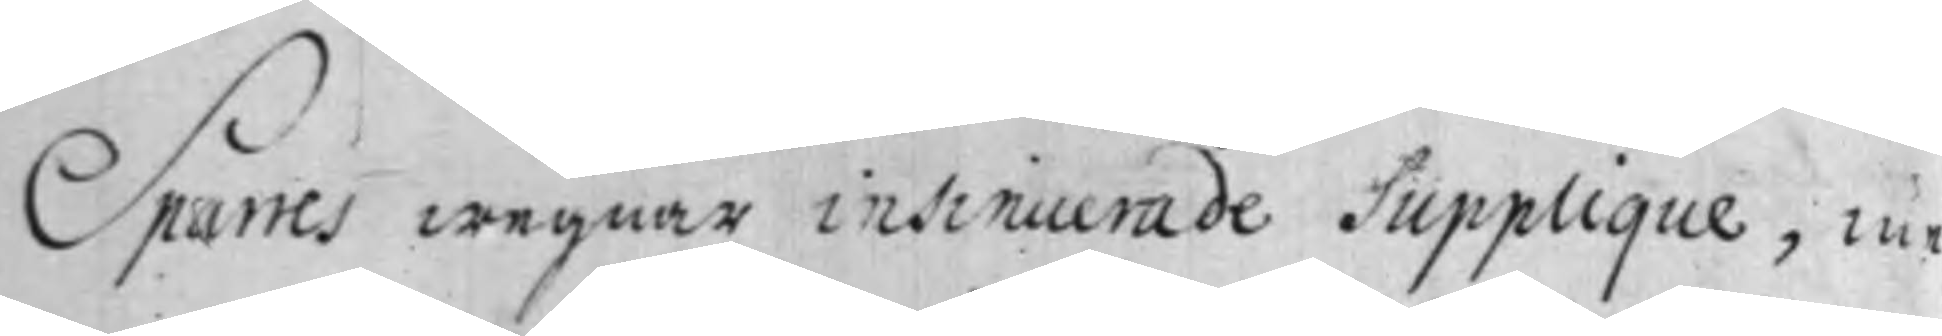Sparres wegnar insinuerade Supplique, me¬
